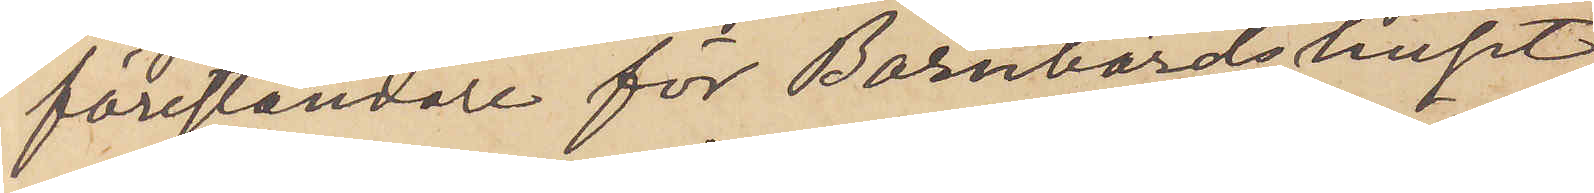föreståndare för Barnbördshuset,
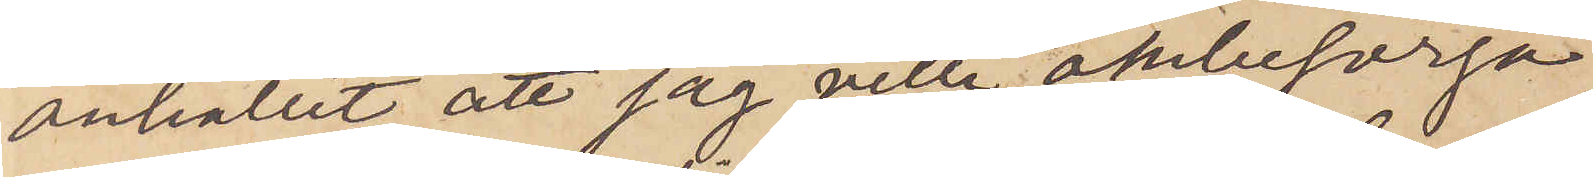anhållit, att jag ville ombesörja
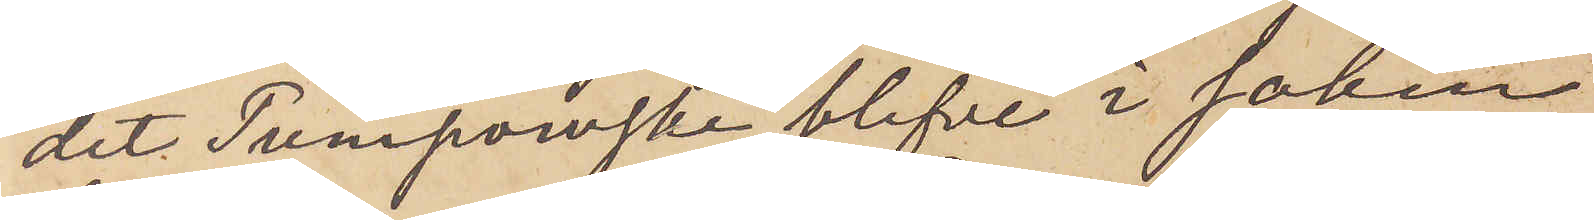det Tumpowski blifve i saken
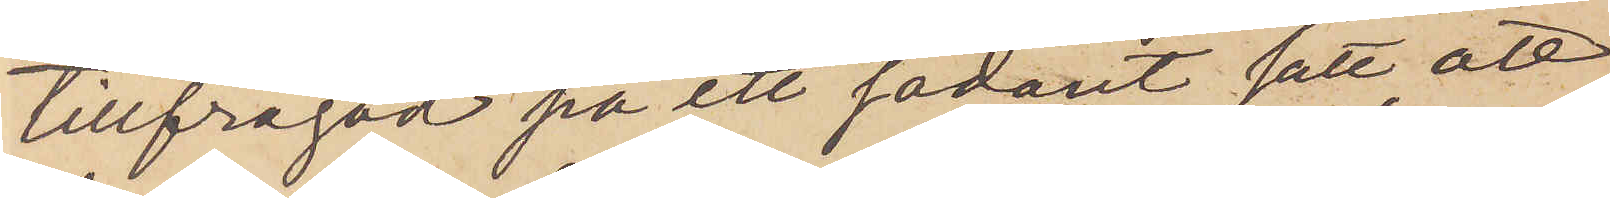tillfrågad på ett sådant sätt att,
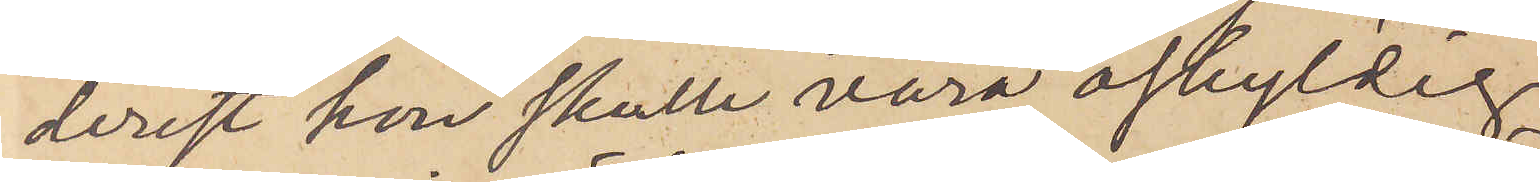derest hon skulle vara oskyldig
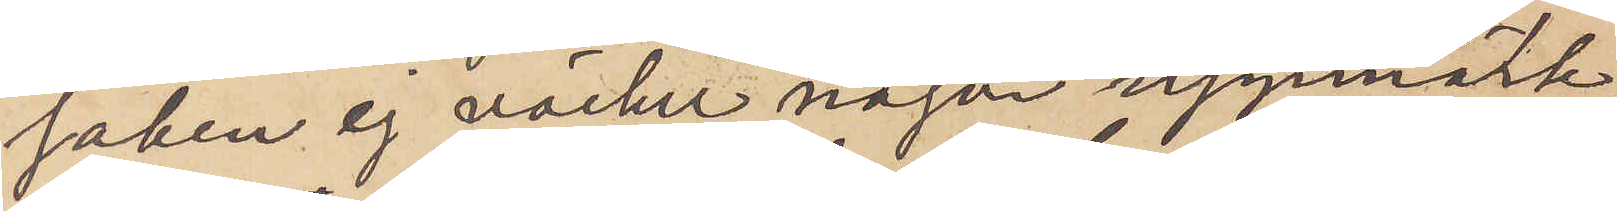saken ej väcker någon uppmärk¬
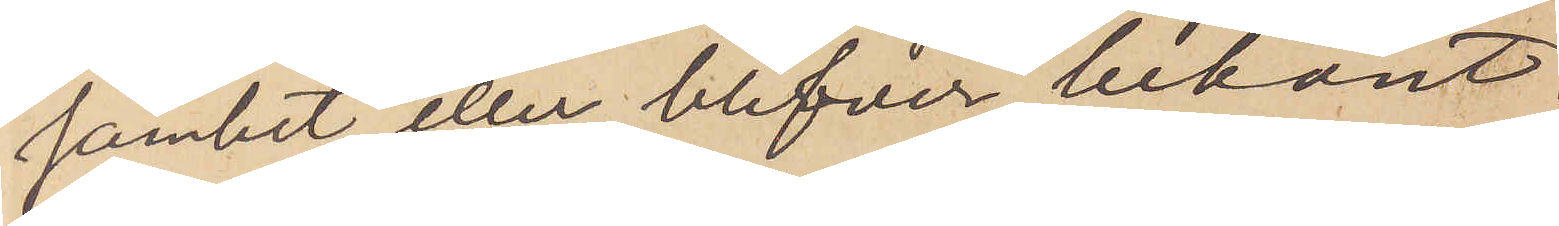samhet eller blifver bekant.
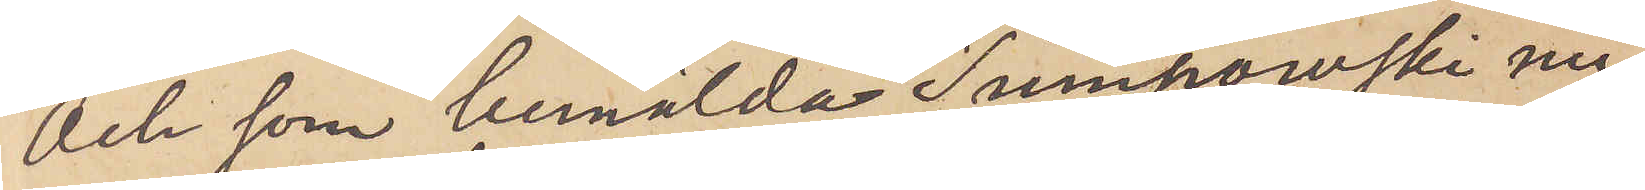Och som bemälda Tumpowski nu¬
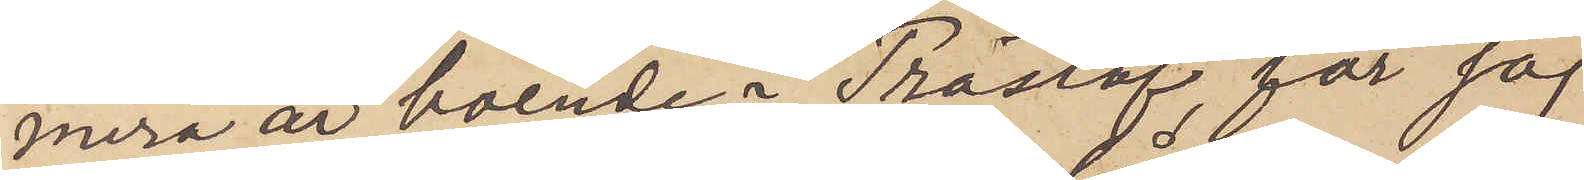mera är boende i Träslöf, får jag
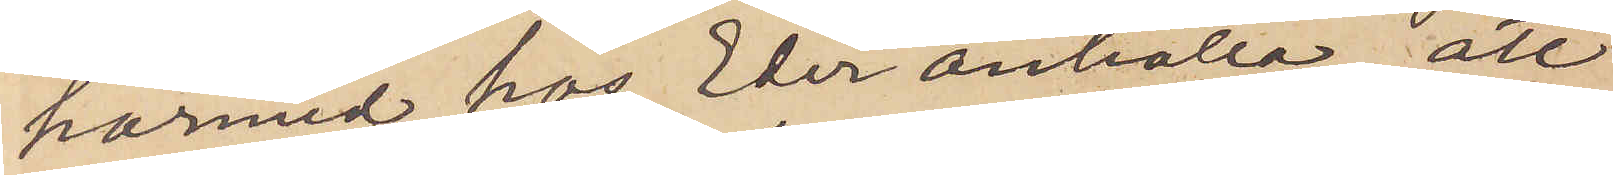härmed hos Eder anhålla, att
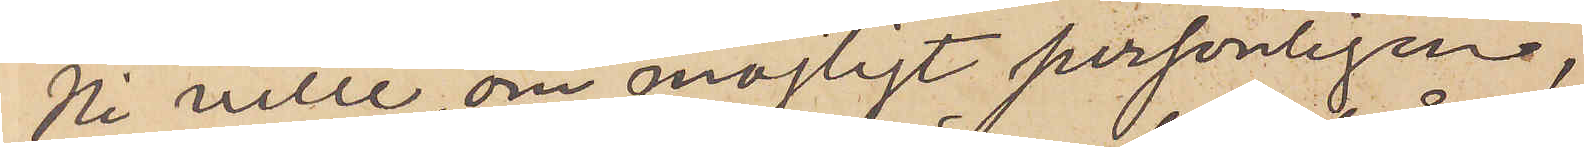Ni ville, om möjligt personligen,
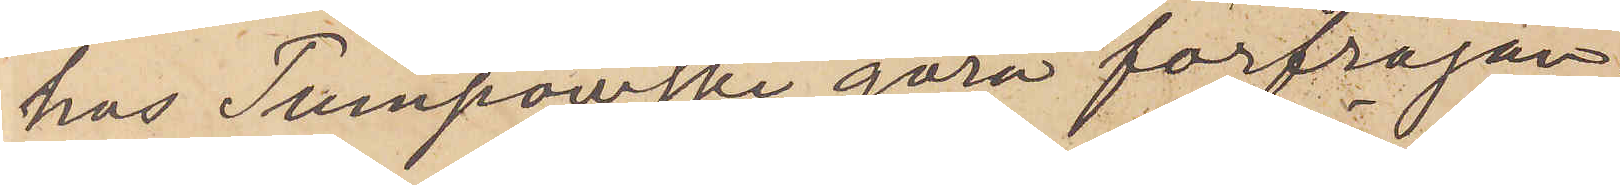hos Tumpowski göra förfrågan
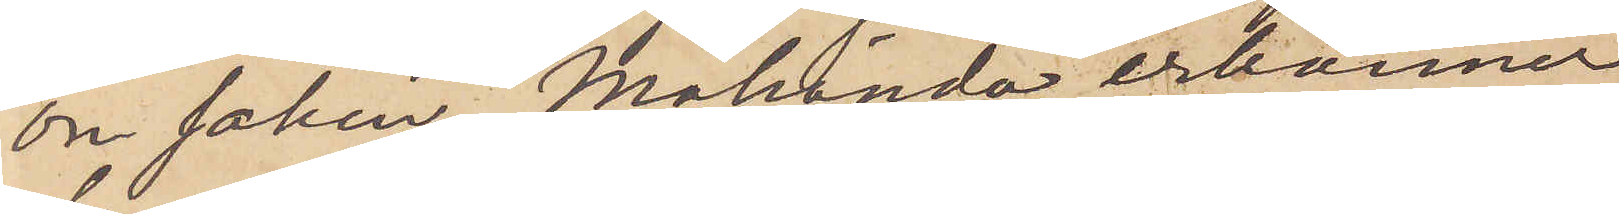om saken. Måhända erkänner
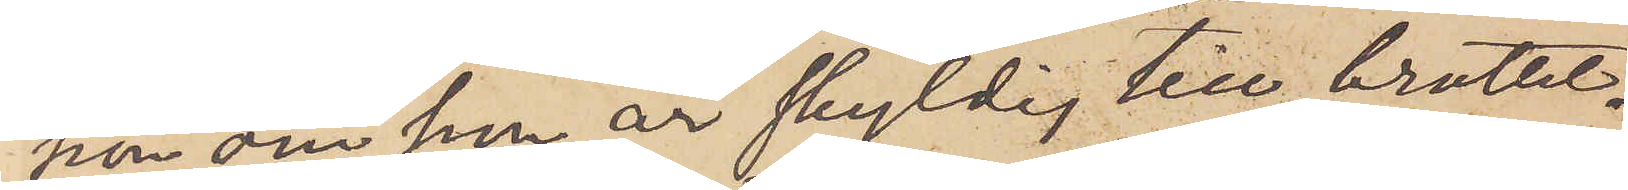hon om hon är skyldig till brottet.
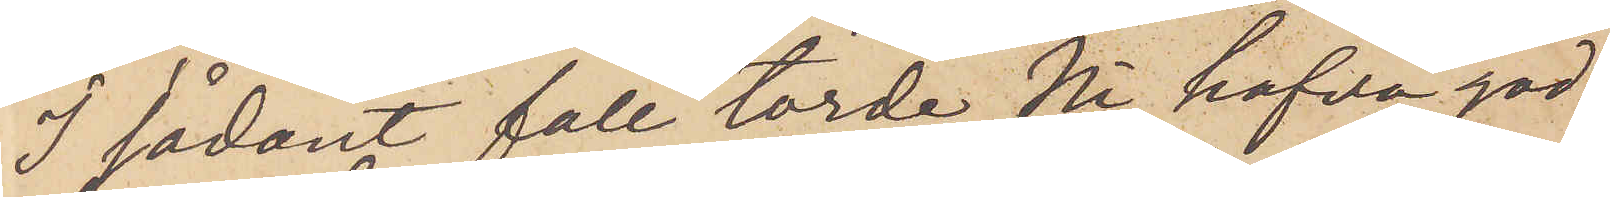I sådant fall torde Ni hafva god¬
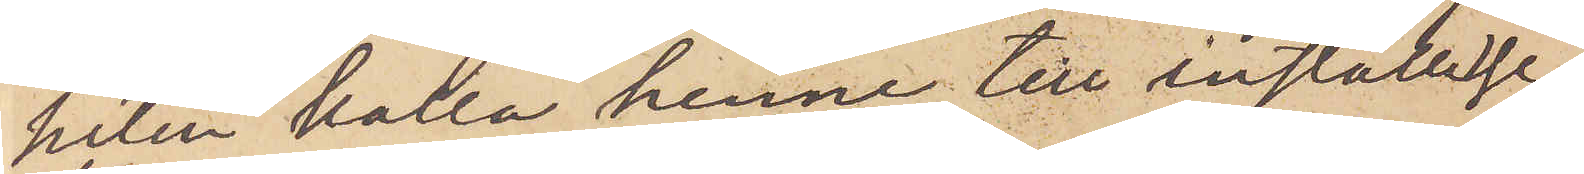heten hålla henne till inställelse
